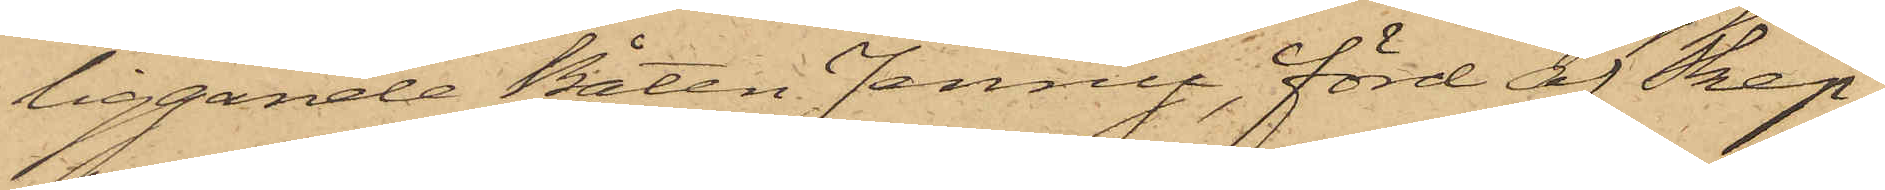liggande Båten Jenny, förd af Skep¬
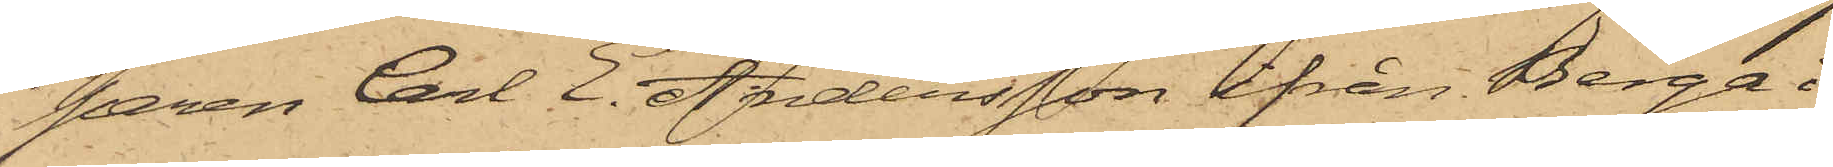paren Carl E. Andersson ifrån Berga
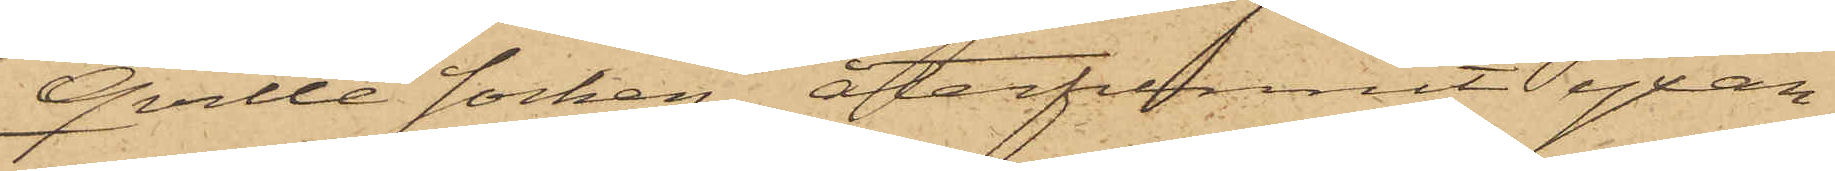Qville socken, återfunnit yxan,
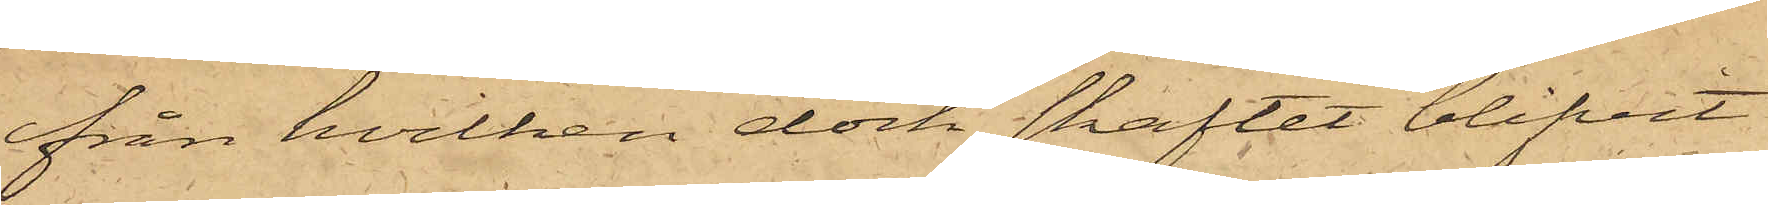från hvilken dock skaftet blifvit
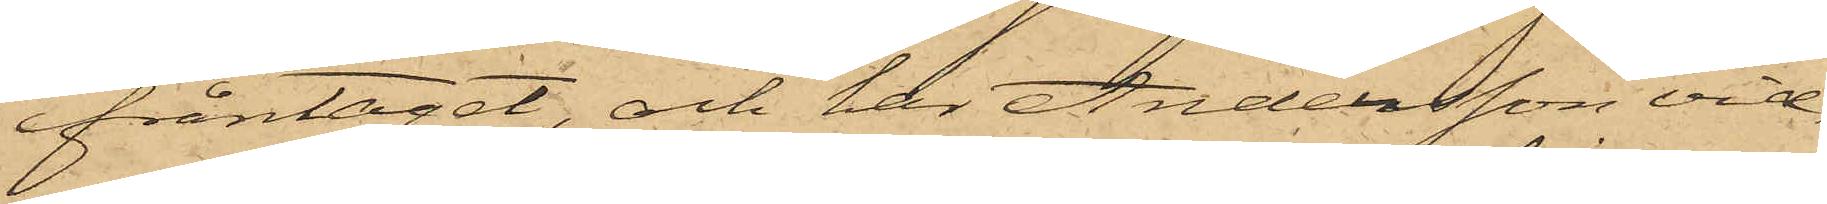fråntaget, och har Andersson vid¬
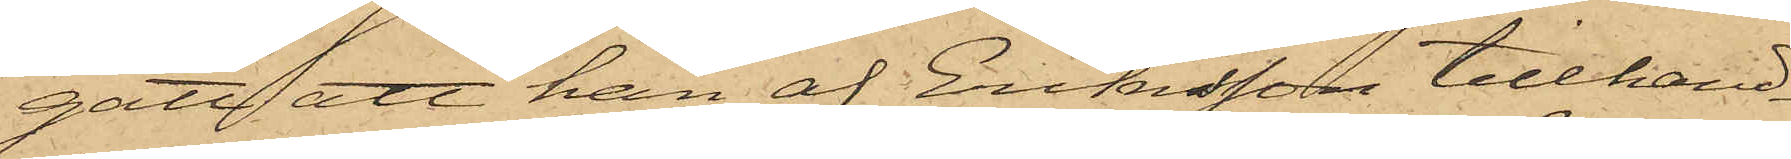gått att han af Eriksson tillhand¬
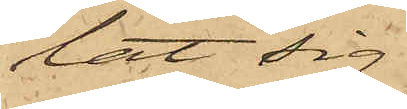lat sig
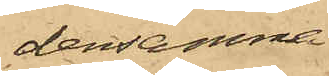densamma
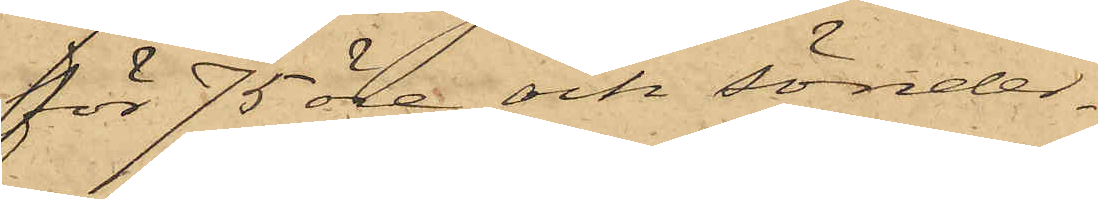för 75 öre och sönder¬
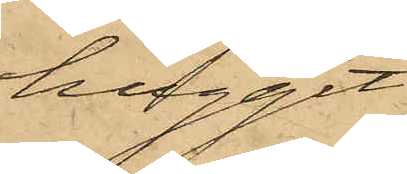huggit
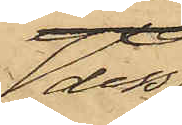dess
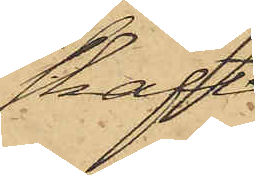skaft.
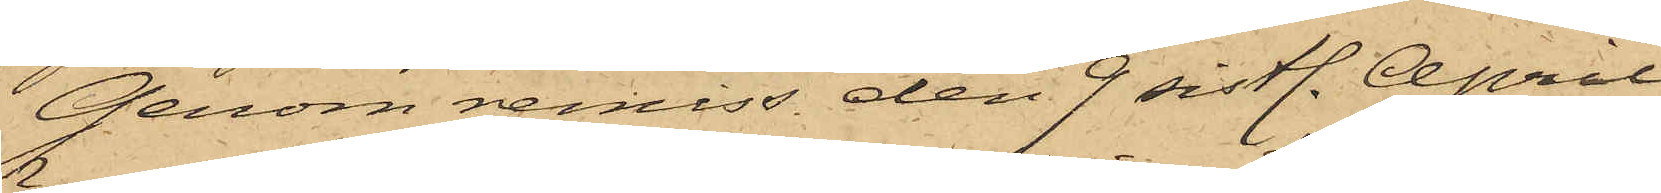Genom remiss den 9 sistl. April
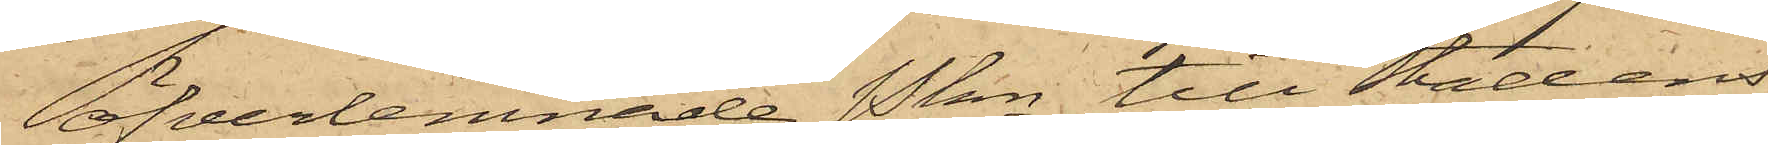öfverlemnade Pkn till Stadens
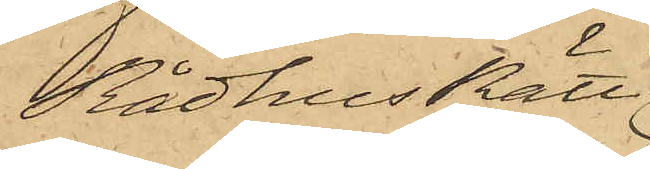RådhusRätt
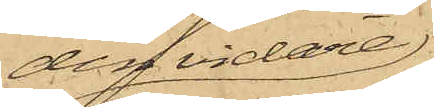den vidare
